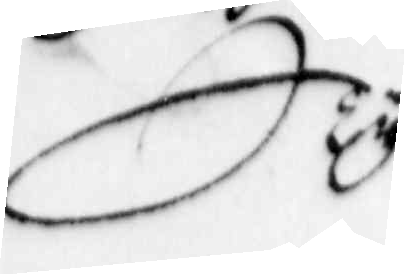Ty
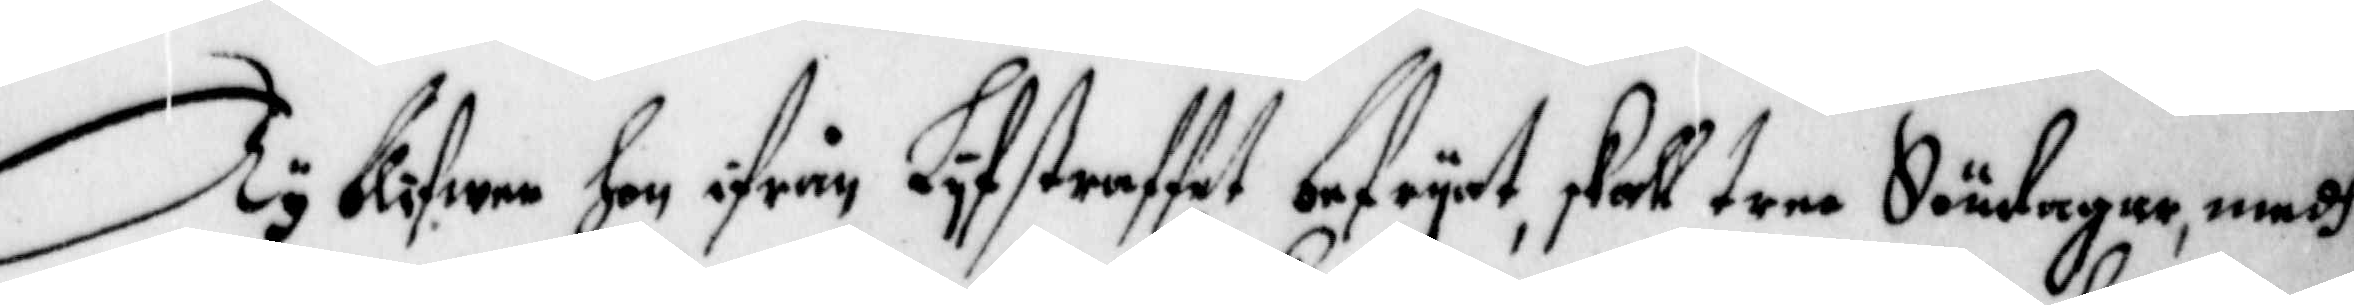Ty blifwa hon ifrån Lyfstraffet befryat, skall tree Söndagar, medh
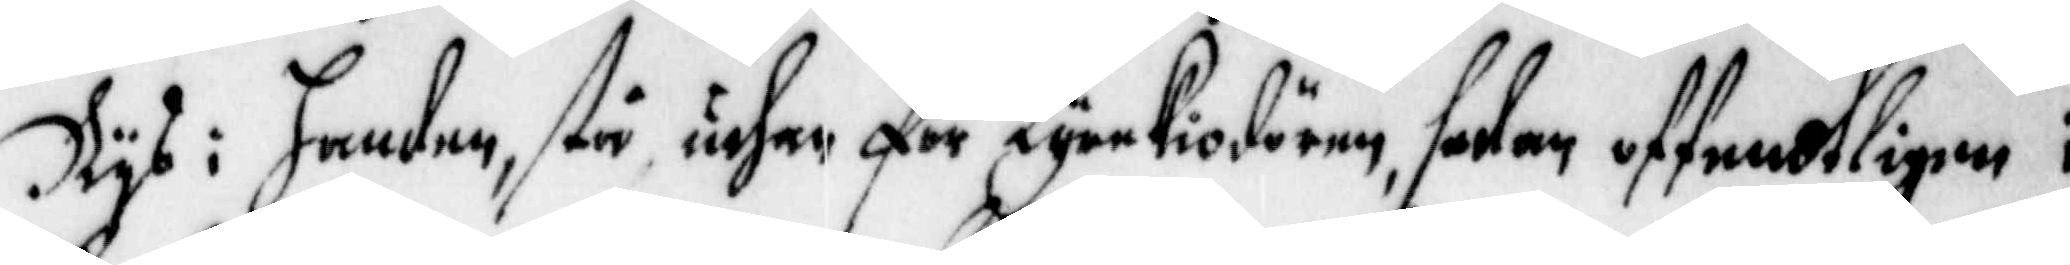Rys i Handen, stå uthan för Kyrckiodören, sedan offendtligen i
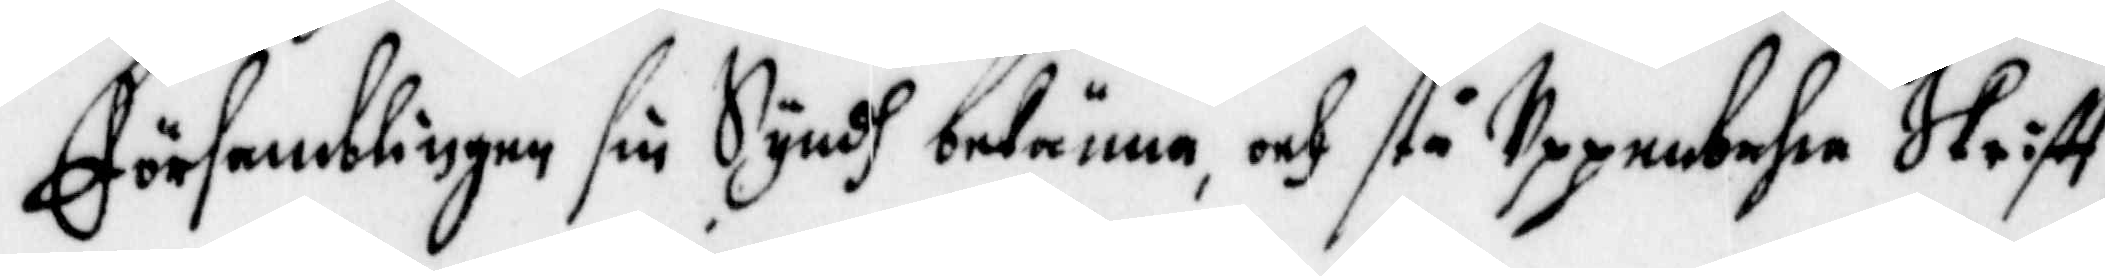Församblingen sin Syndh bekänna, och stå Uppenbahra Skrifft,
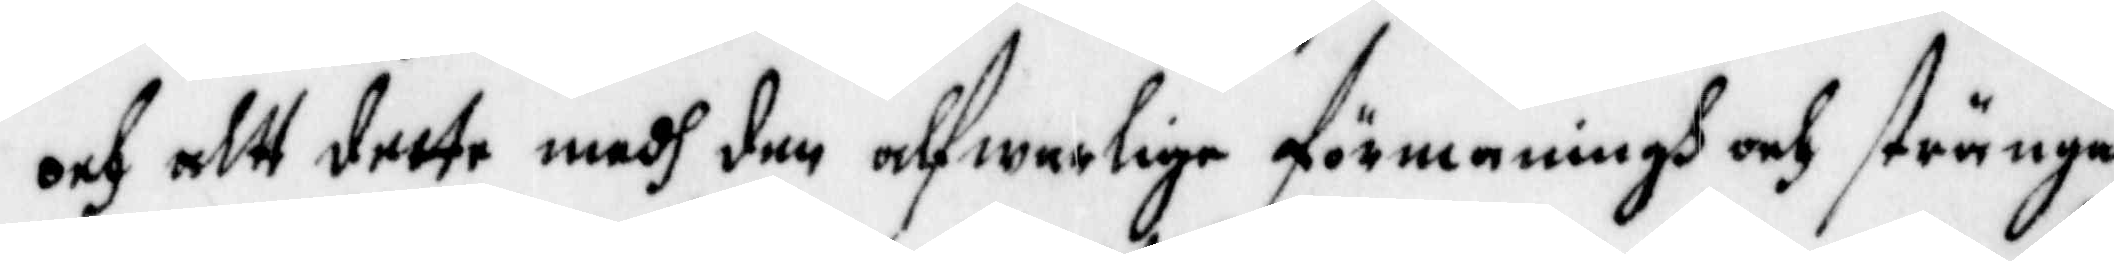och altt dette medh den alfwarlige förmaningh och stränga
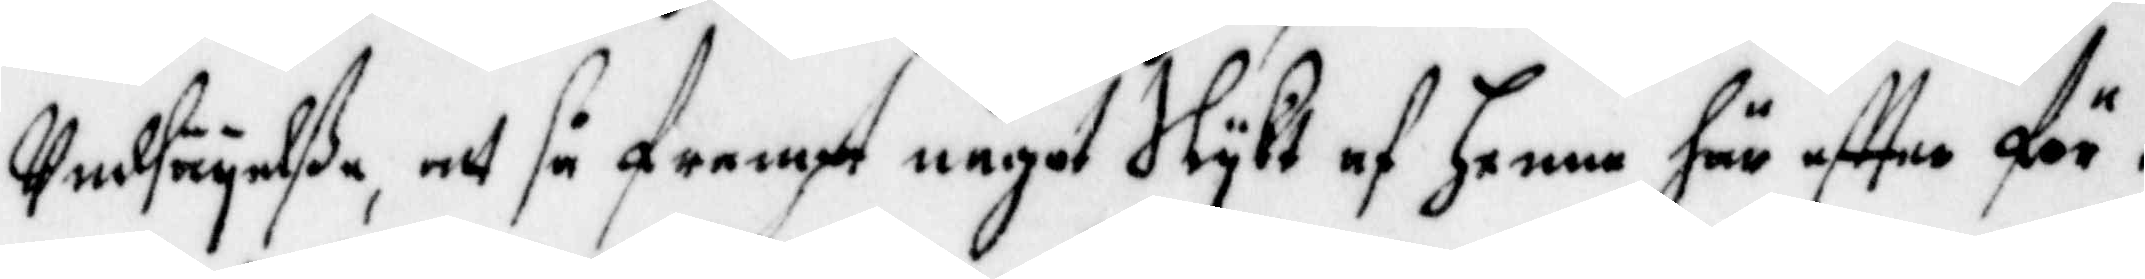Undsäyelße, att så frampt något Slykt af henne här effter för¬
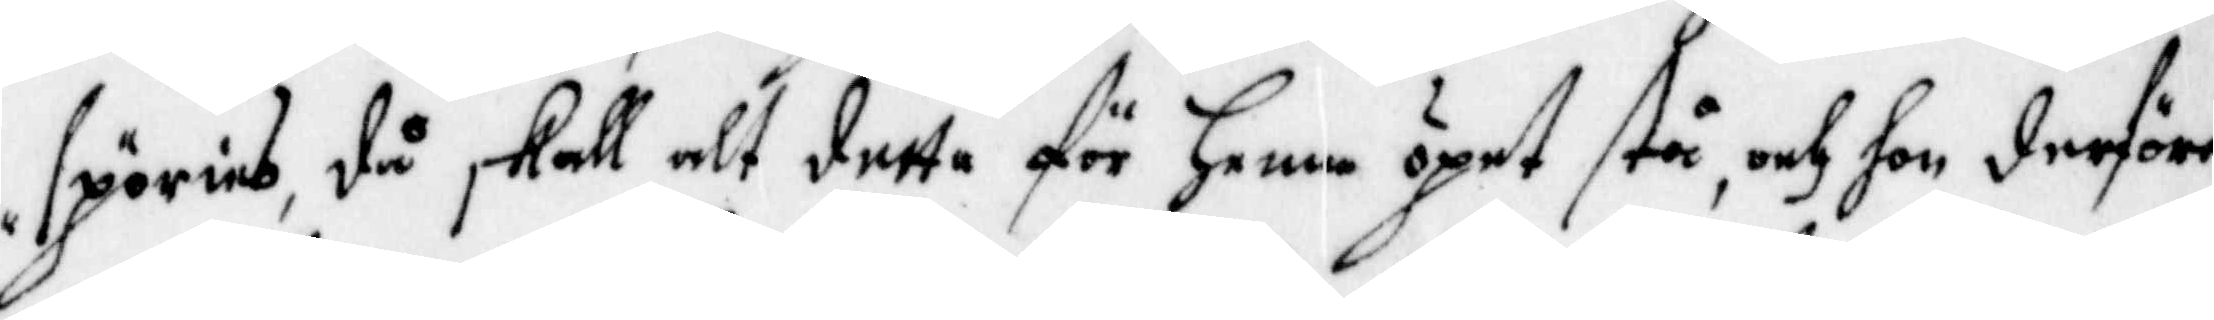spörias, då skall alt detta för henne öpet står, och hon derföre
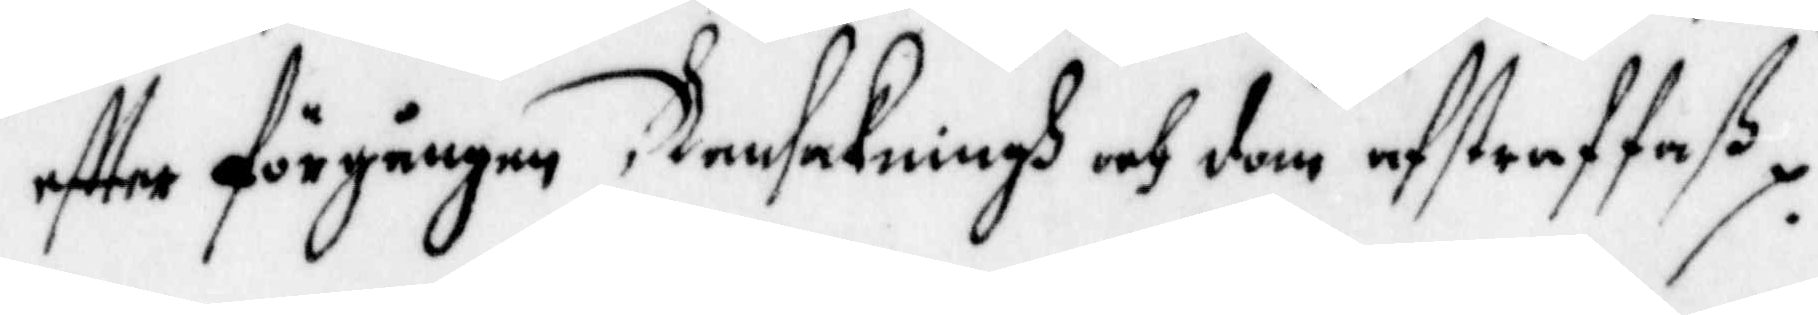effter förgången Ransakningh och dom afstraffaß.
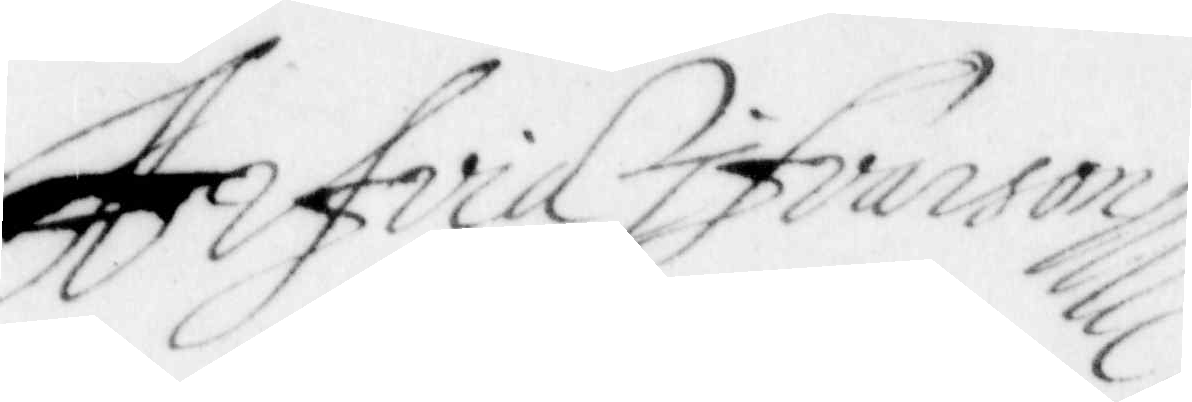Arfvid Ifvansson
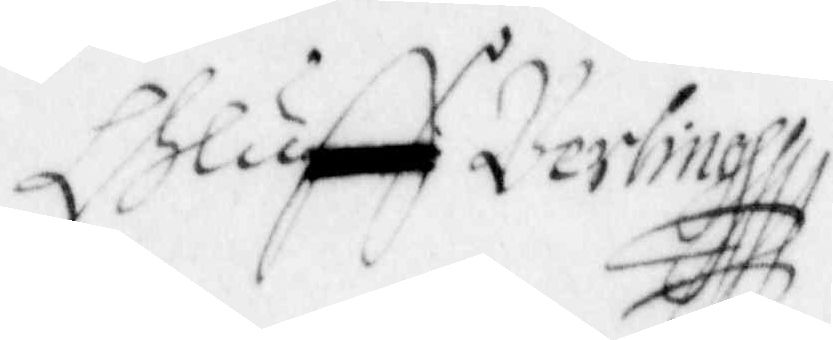Oluff Berling
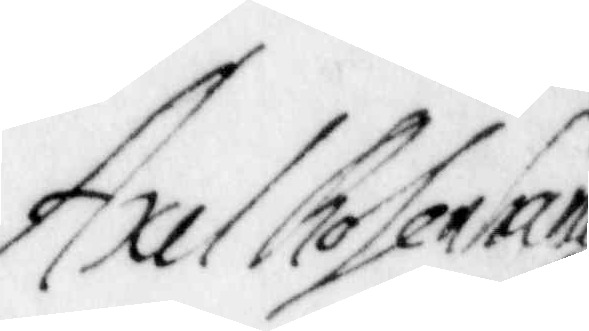Axel Rosenhane
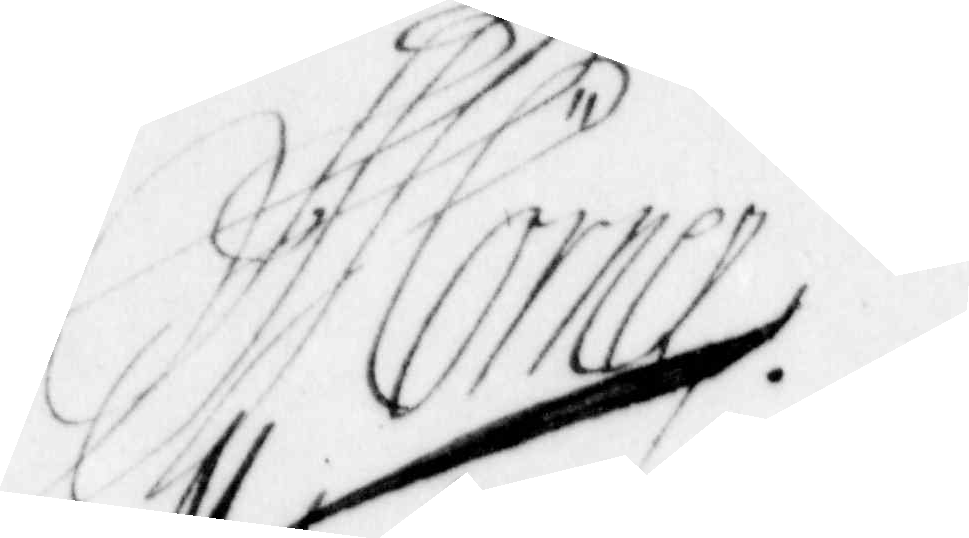Mörner
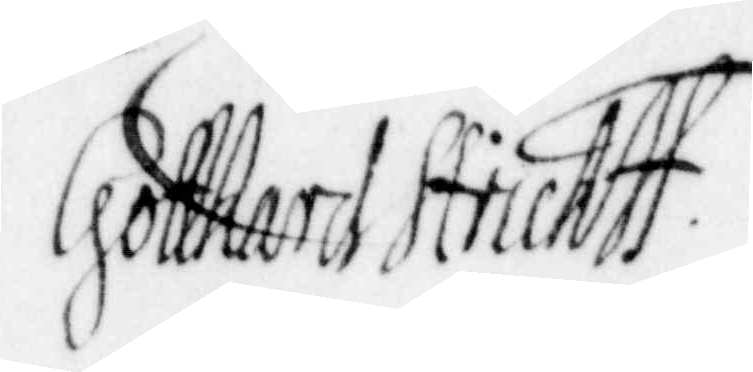Gotthard Struk
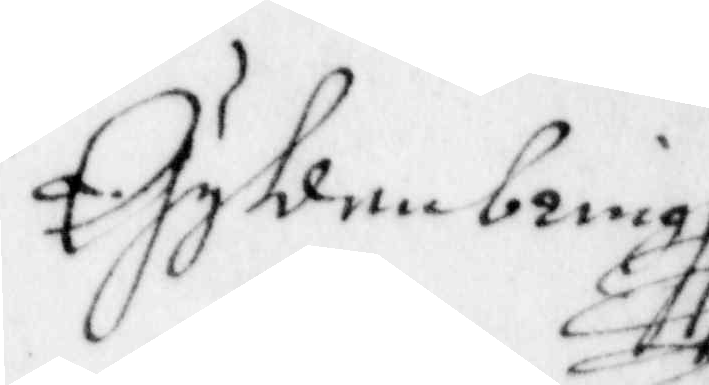Gyllenbring
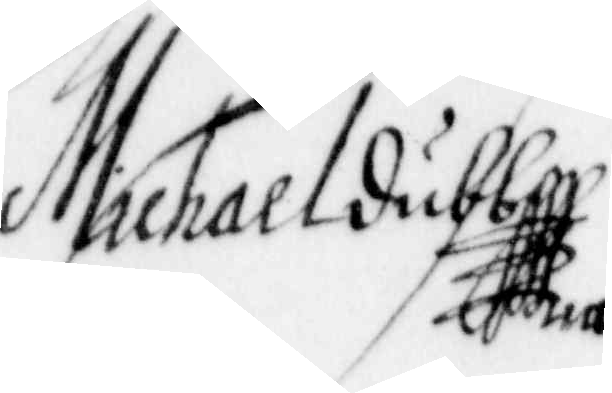Michael Dubb
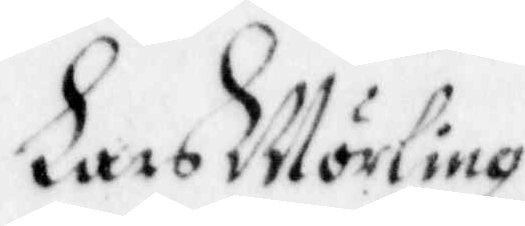Lars Mörling
